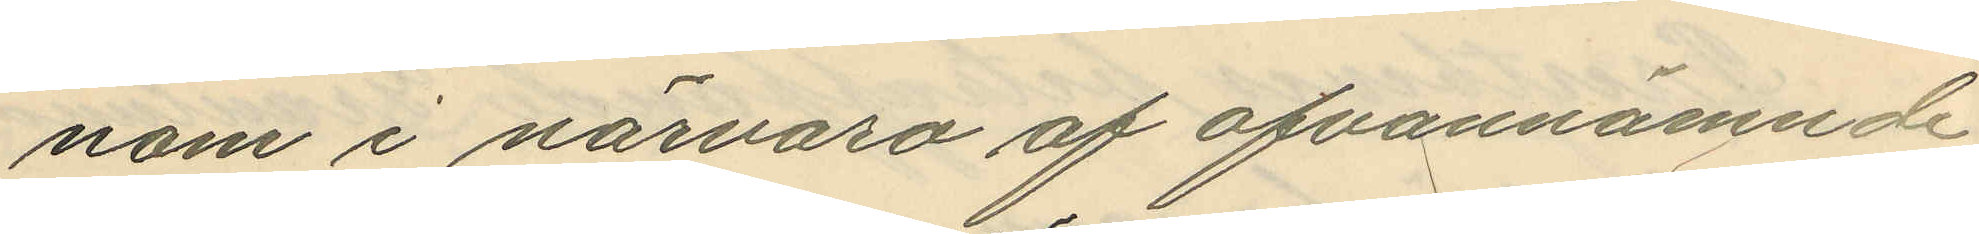nom i närvaro af ofvannämnde
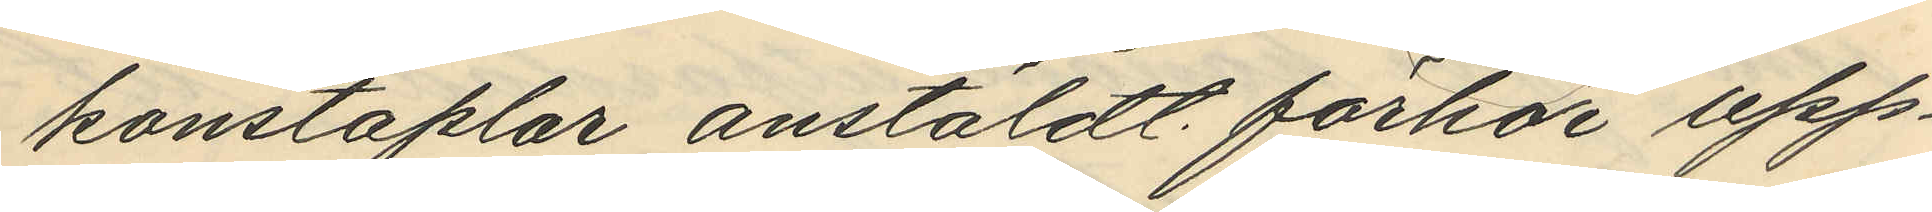konstaplar anstäldt förhör upp¬
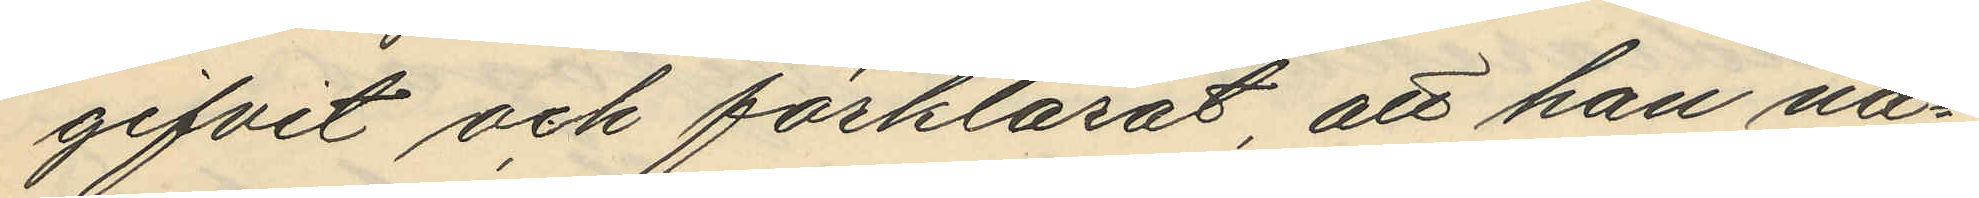gifvit och förklarat att han nå¬
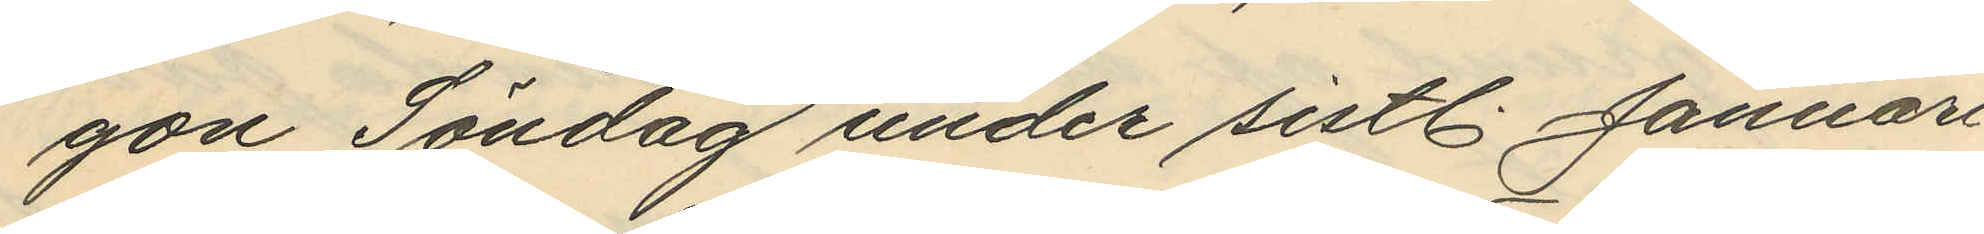gon Söndag under sistl. Januari
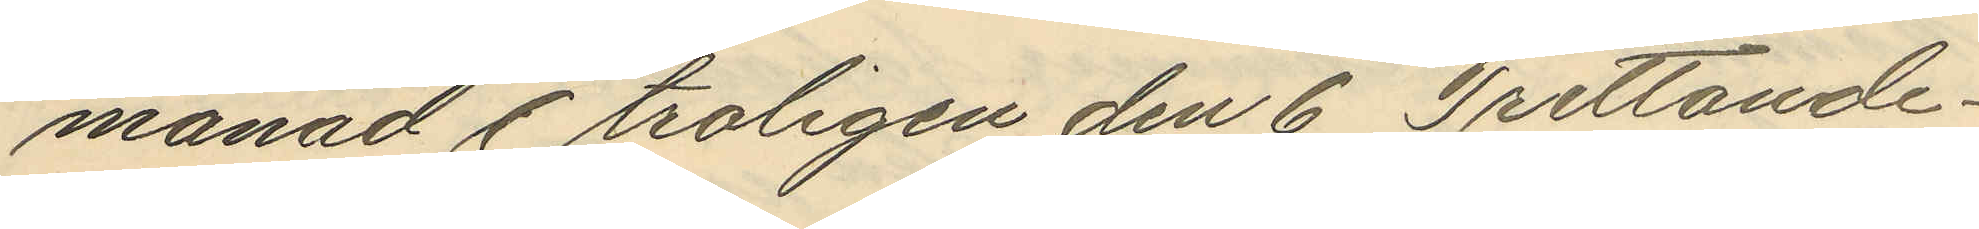månad, troligen den 6 Trettonde¬
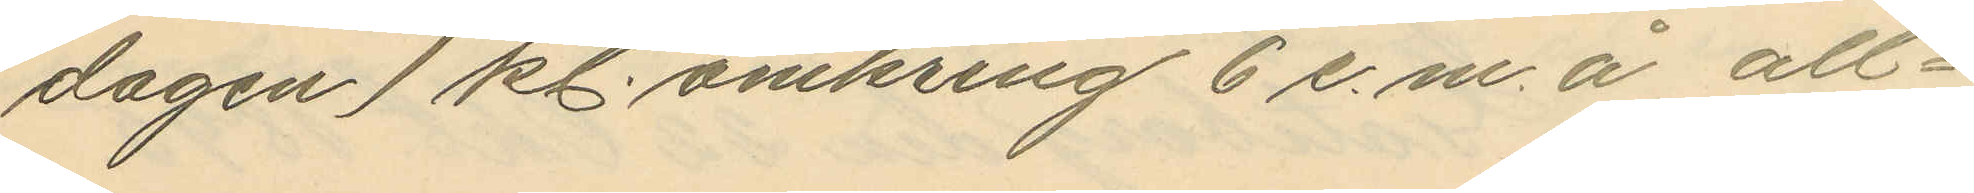dagen, kl. omkring 6 e.m. å all¬
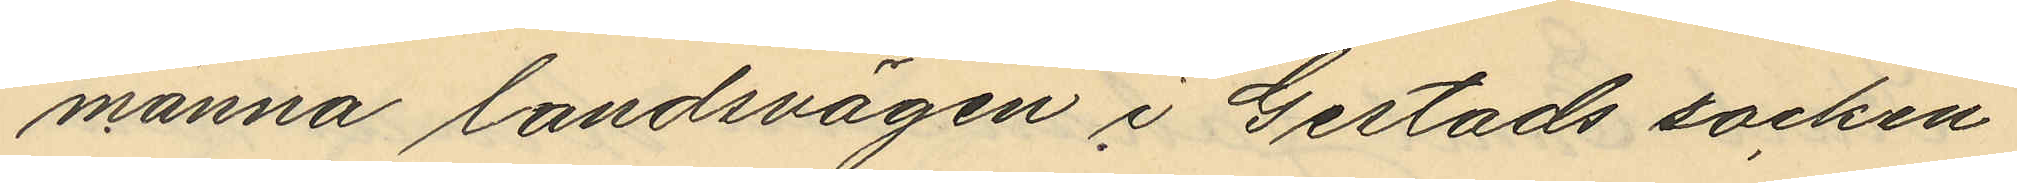männa landsvägen i Gestads socken
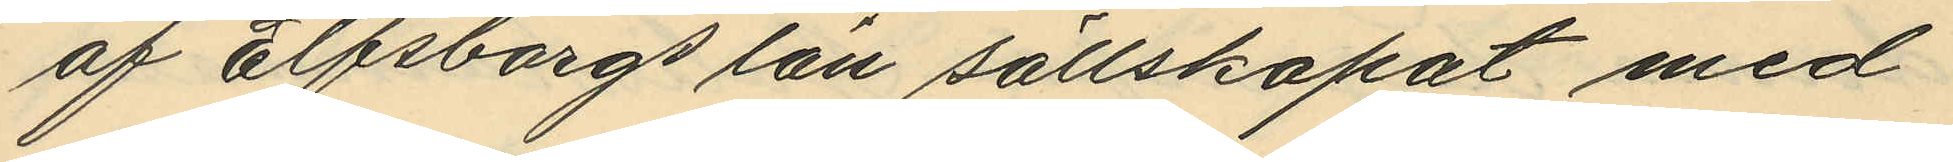af Elfsborgs län sällskapat med
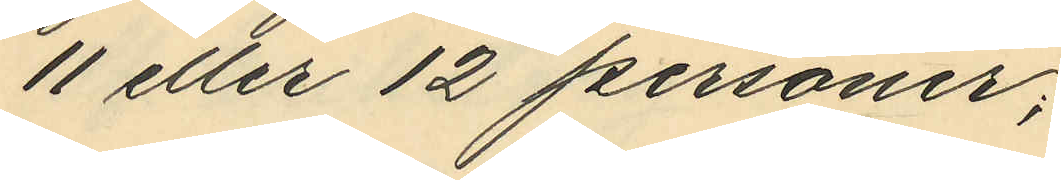11 eller 12 personer;
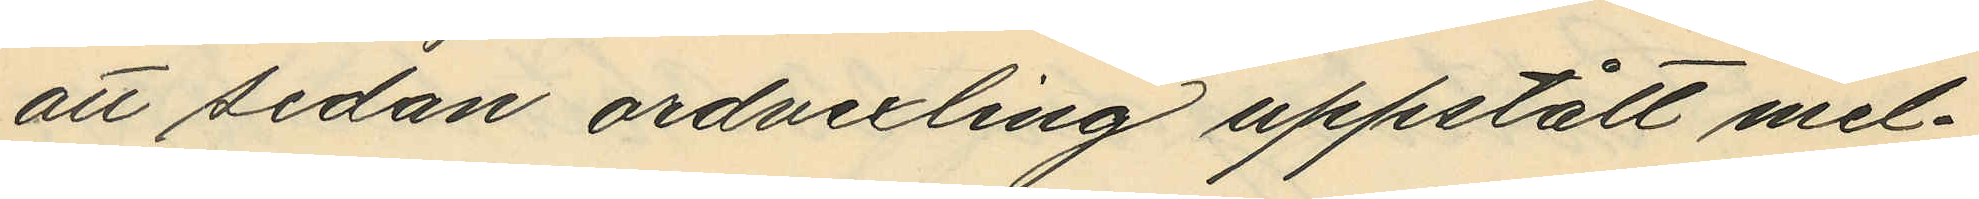att sedan ordvexling uppstått mel¬
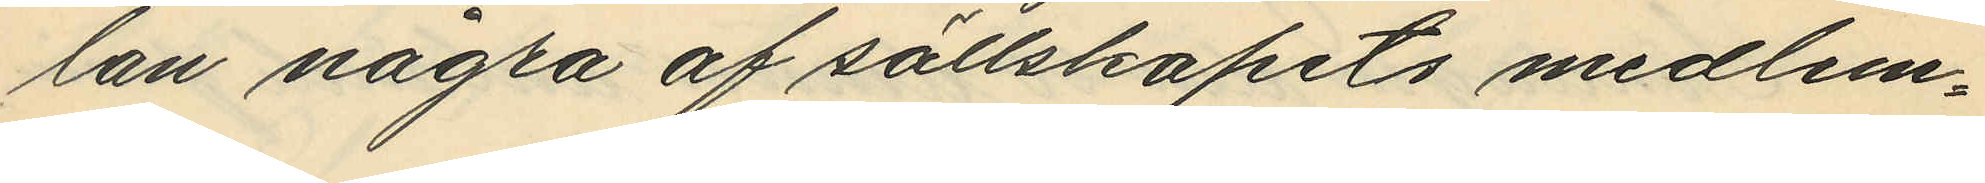lan några af sällskapets medlem¬
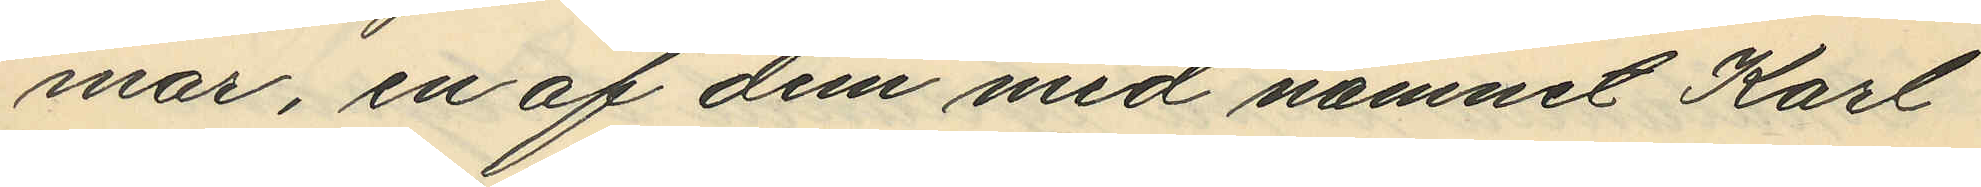mar, en af dem med namnet Karl
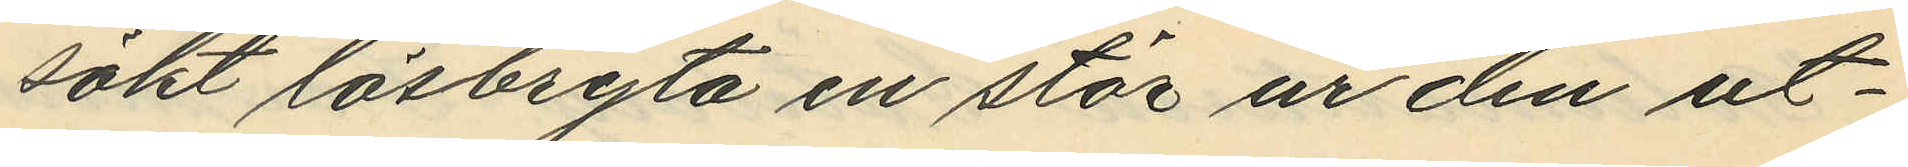sökt lösbryta en stör ur den ut¬
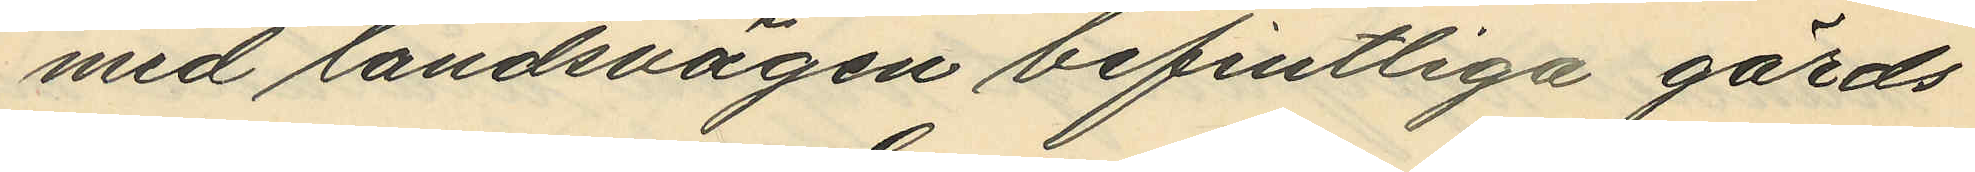med landsvägen befintliga gärds¬
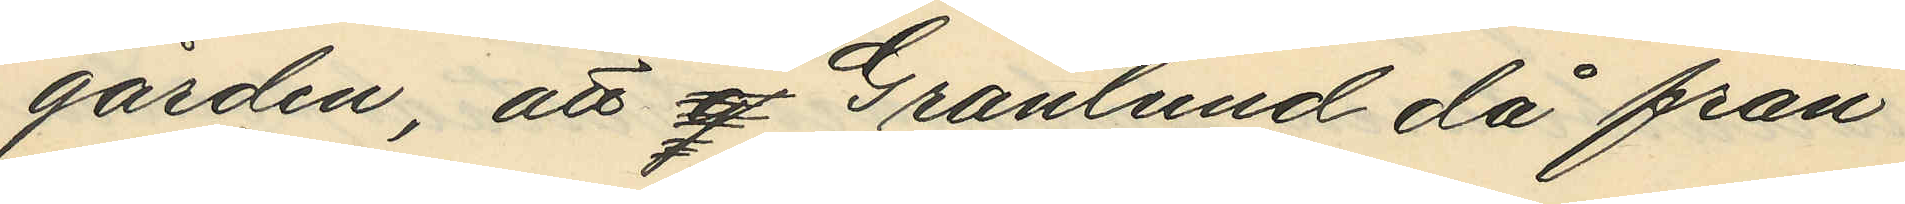gården, att Granlund då från
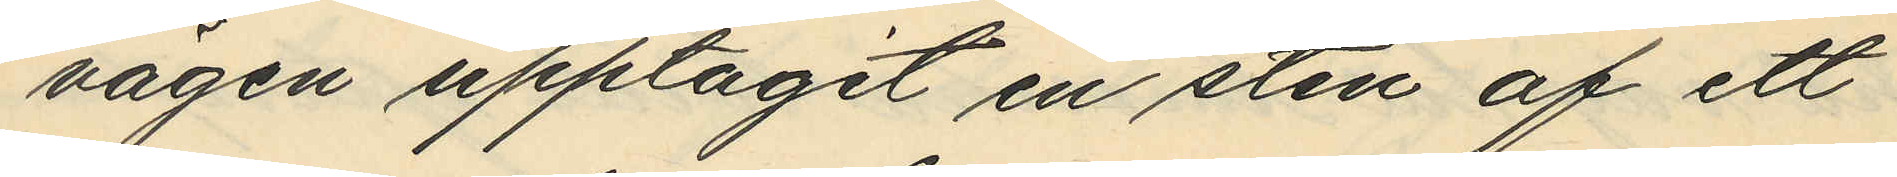vägen upptagit en sten af ett
